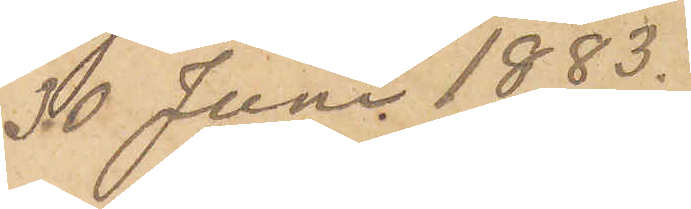30 Juni 1883.
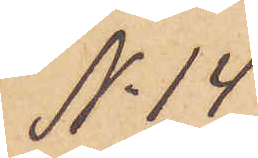No 14
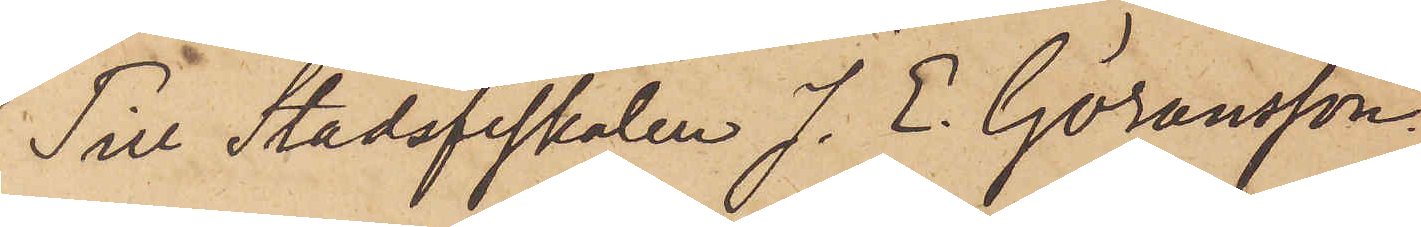Till Stadsfiskalen J. E. Göransson,
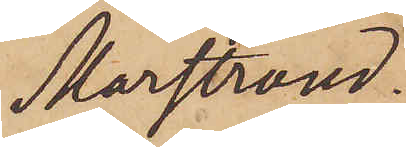Marstrand.
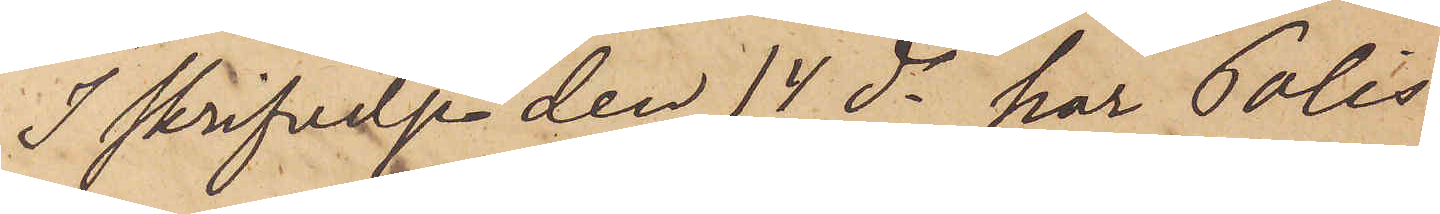I skrifvelse den 14 ds har Polis¬
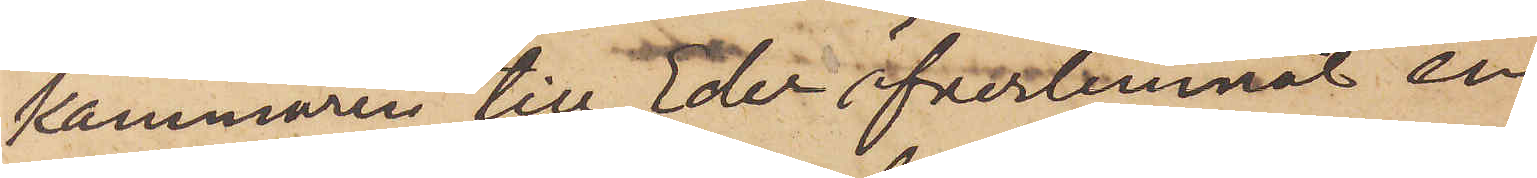kammaren till Eder öfverlemnat en
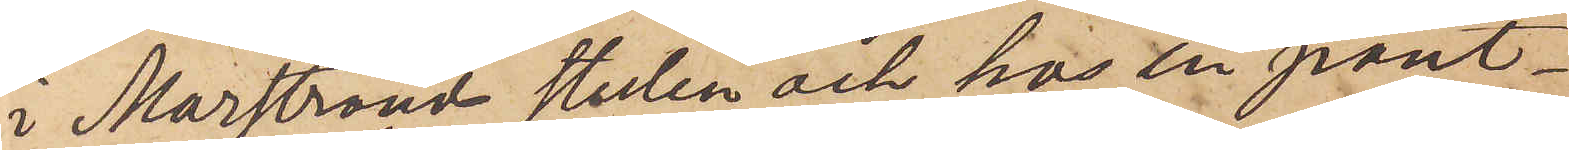i Marstrand stulen och hos en pant¬
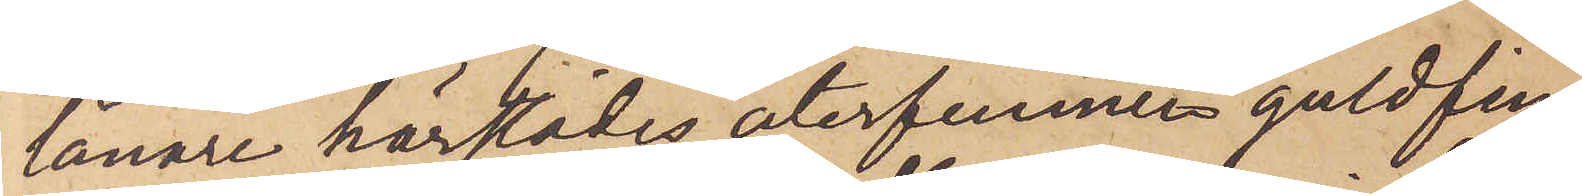lånare härstädes återfunnen guldfin¬
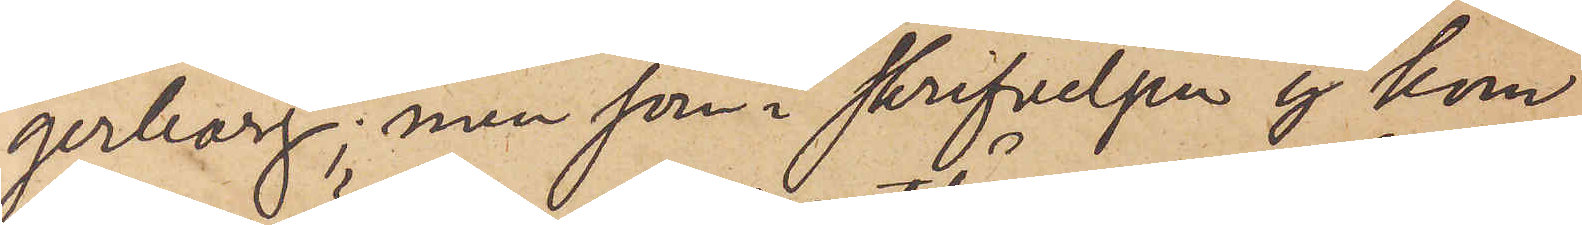gerborg; men som i skrifvelsen ej kom
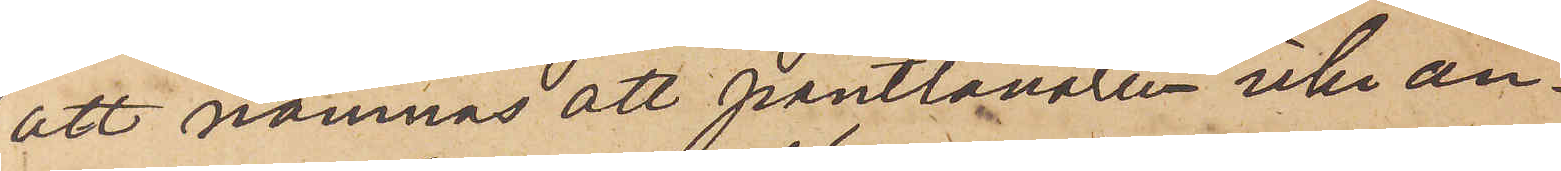att nämnas att pantlånaren icke an¬
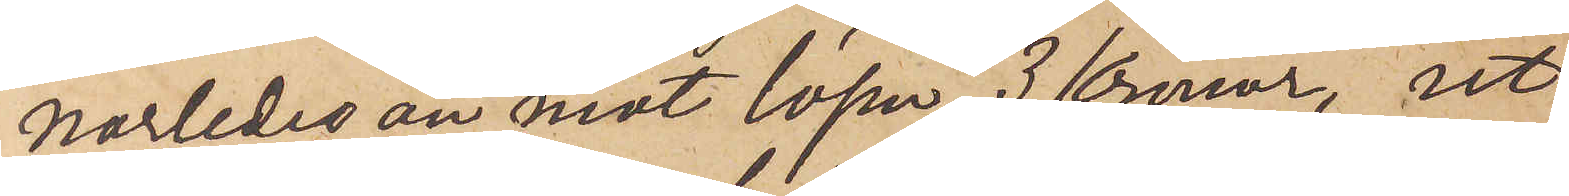orrledes än mot lösen, 3 Kronor, ut¬
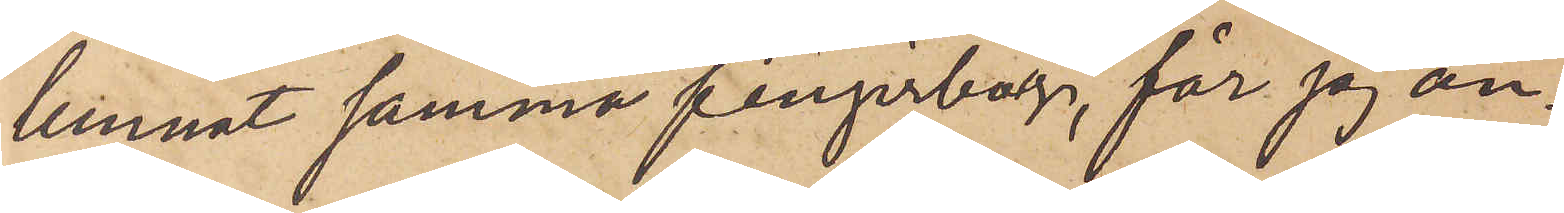lemnat samma fingerborg, får jag an¬
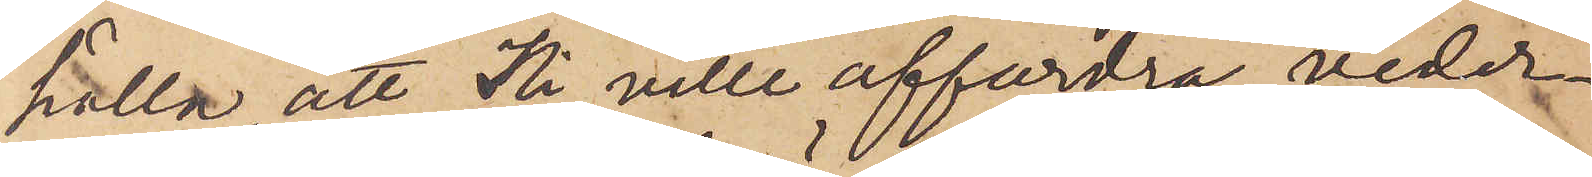hålla, att Ni ville affordra veder¬
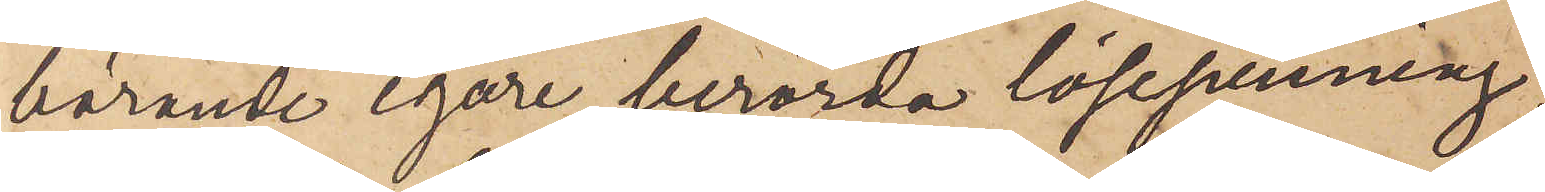börande egare berörde lösepenning,
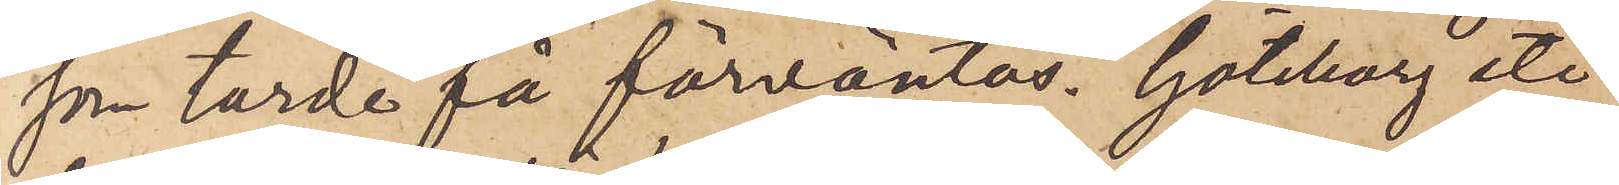som torde få förväntas. Göteborg etc
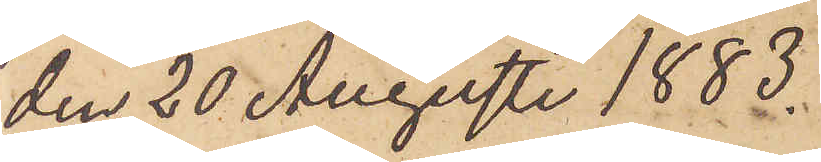den 20 Augusti 1883.
